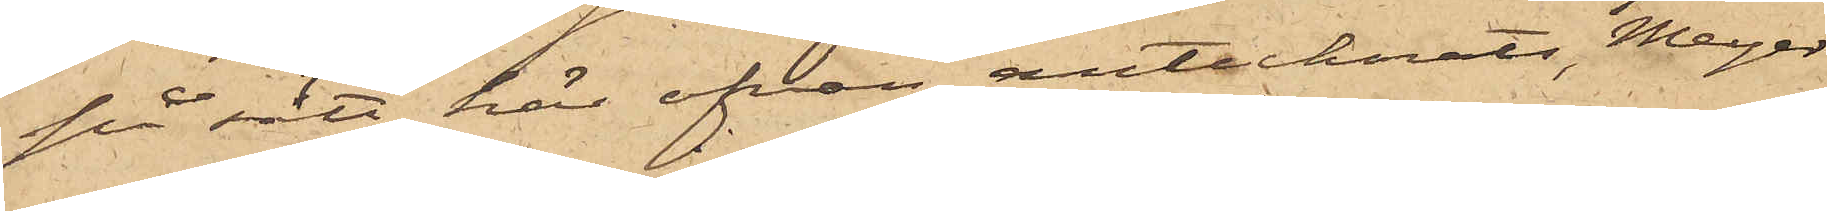på sätt här ofvan antecknats, Meyer
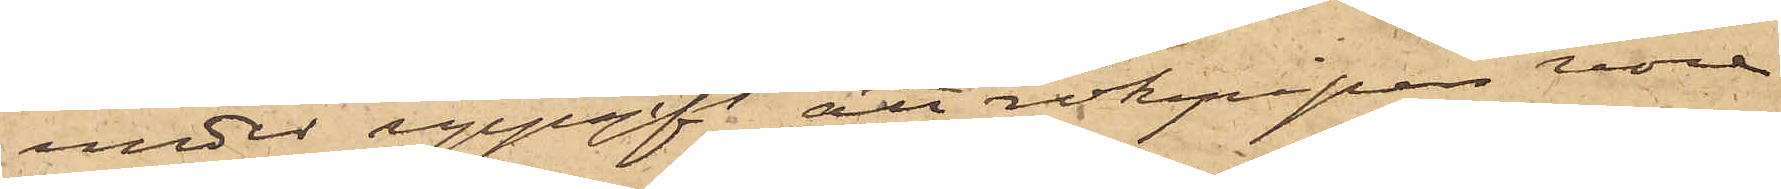under uppgift att rökpipan vore
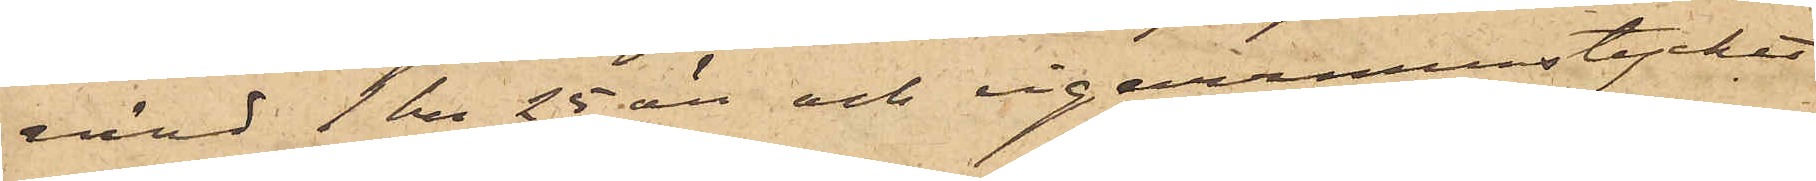värd 1 kr 25 öre och cigarrmunstycket
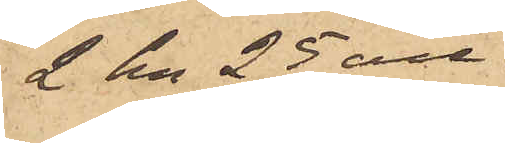2 kr 25 öre.
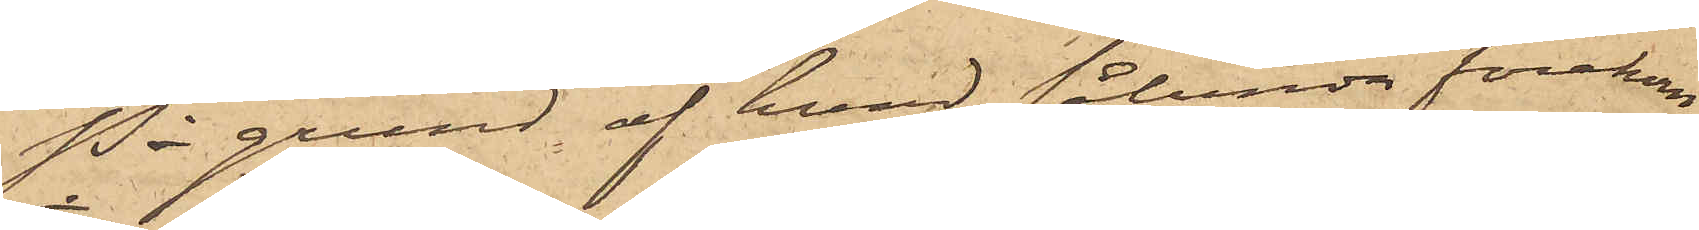På grund af hvad sålunda förekom¬
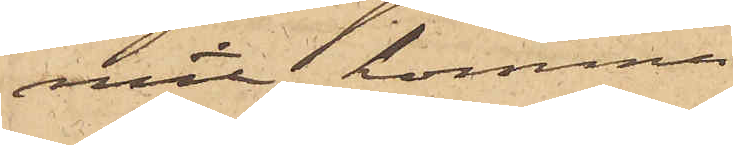mit, kommer
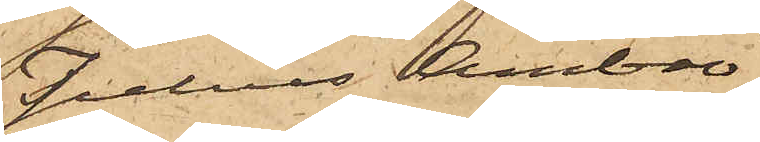Julius Ambro¬
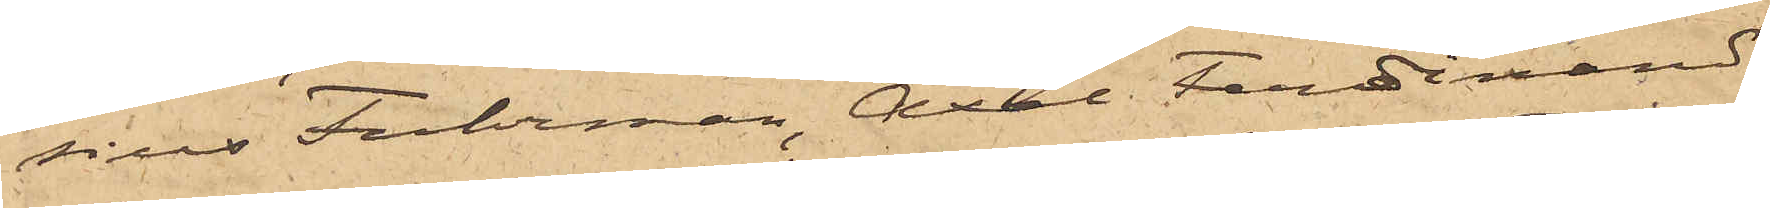sius Fuhrman, Axel Ferdinand
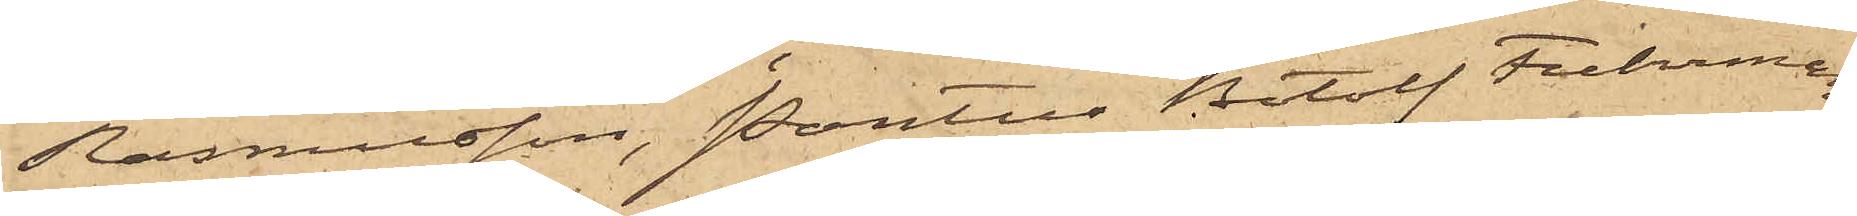Rasmusson, Pontus Botolf Fuhrman
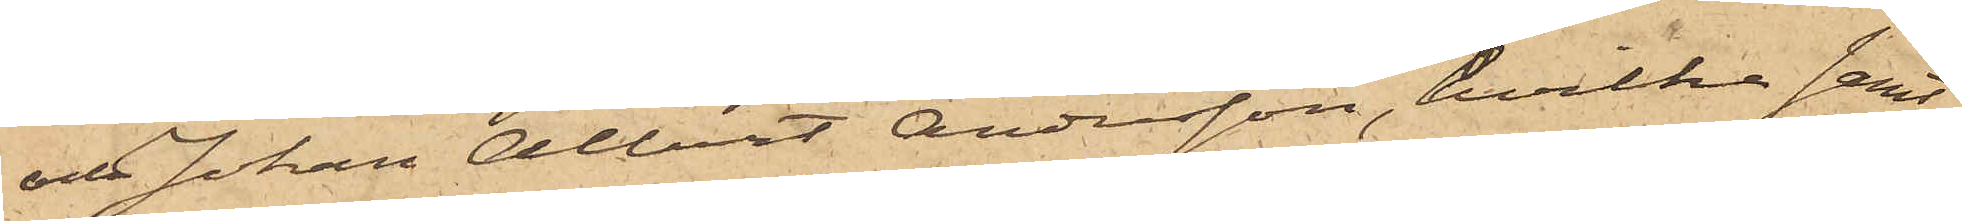och Johan Albert Andersson, hvilka samt¬
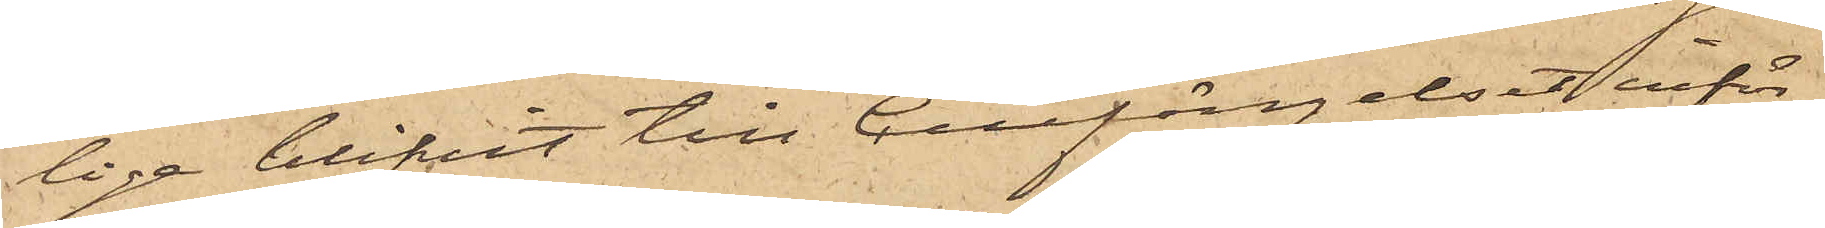lige blifvit till Cellfängelset inför¬
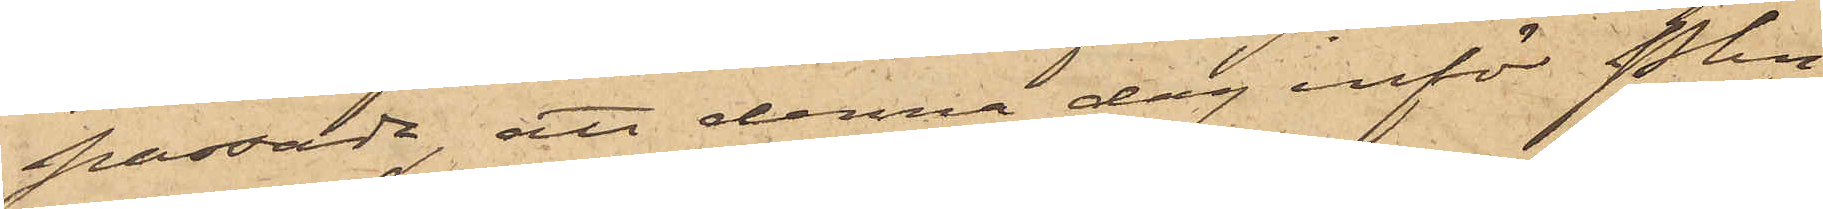passade, att denna dag inför Pkn
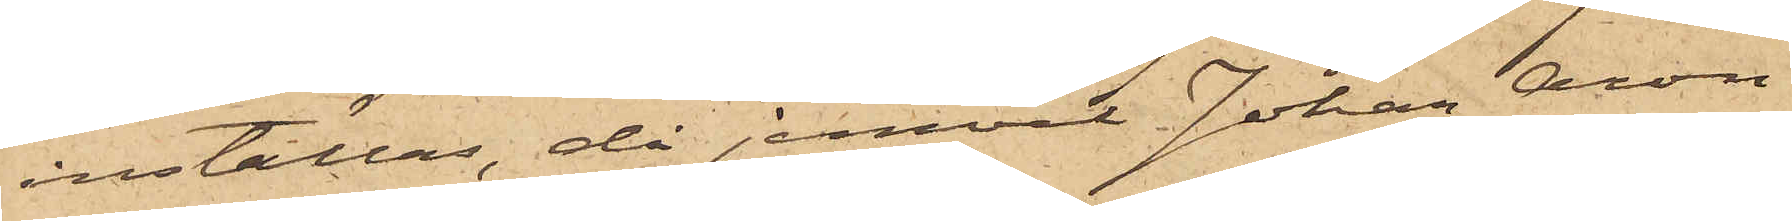inställas, då jemväl Johan Aron
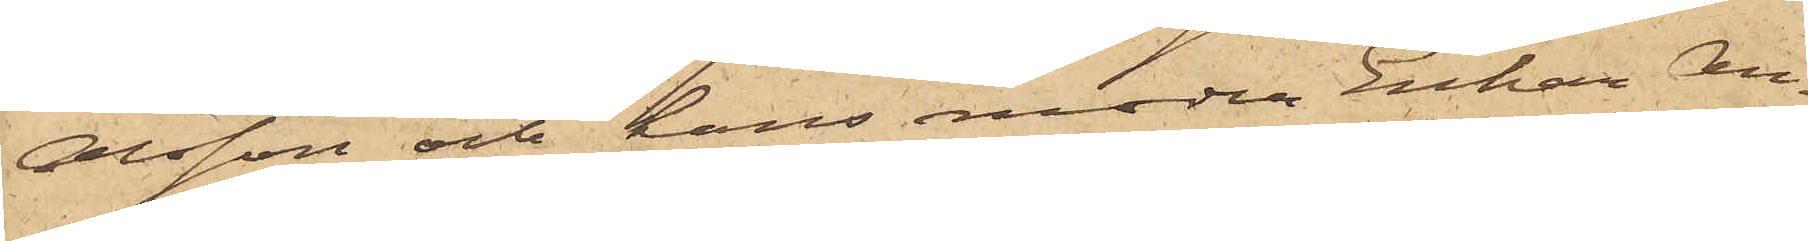Olsson och hans moder Enkan An¬
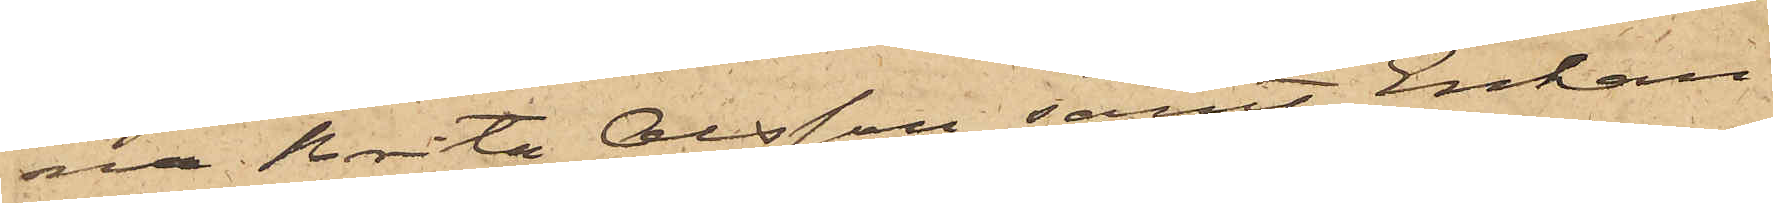na Brita Olsson samt Enkan
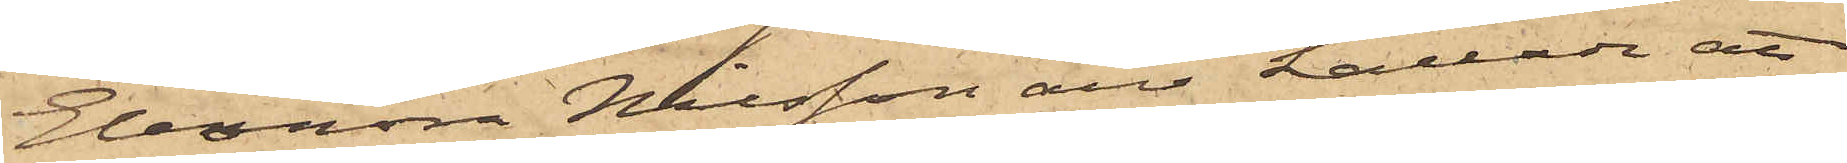Eleonora Nilsson äro kallade att
